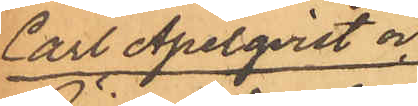Carl Apelqvist och
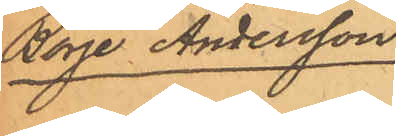Börje Andersson.
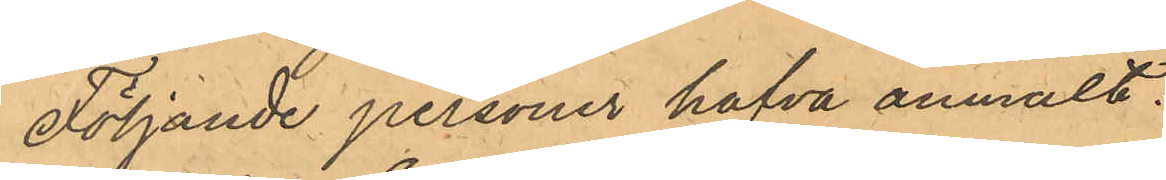Följande personer hafva anmält:
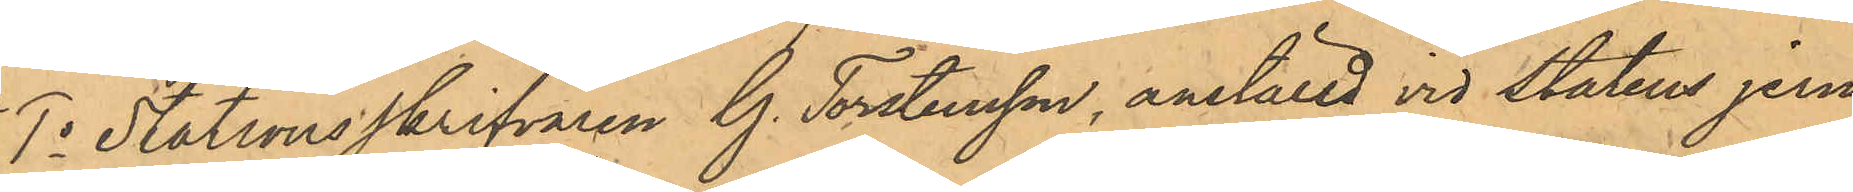1o Stationsskrifvaren G. Torstensson, anställd vid Statens jern¬
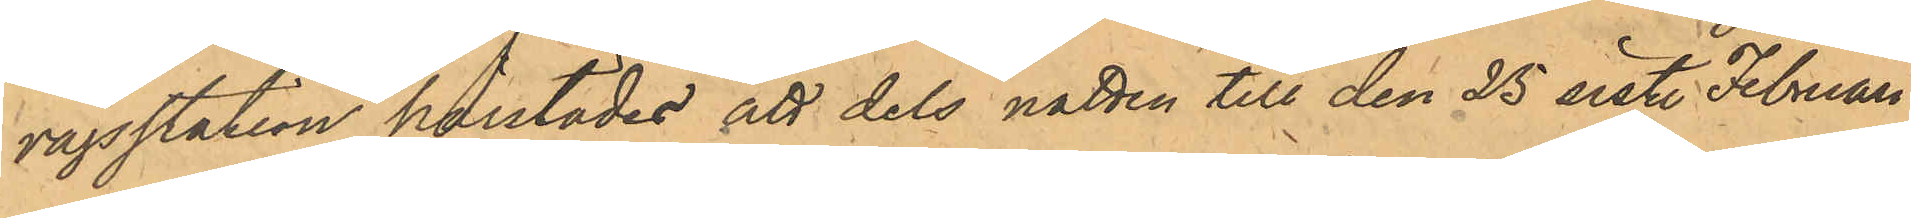vägsstation härstädes att dels natten till den 25 sist. Februari
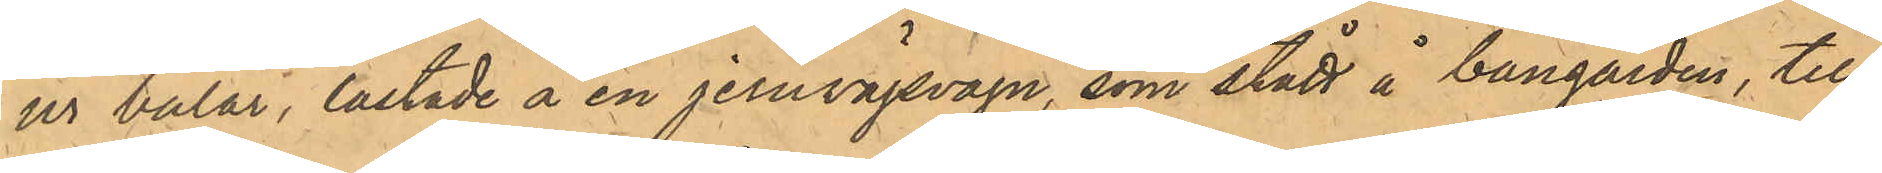ur balar, lastade å en jernvägsvagn, som stått å bangården, till¬
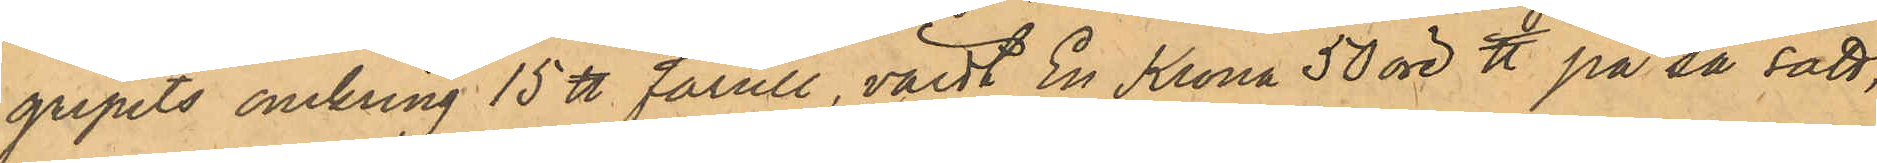gripits omkring 15 ℔ fårull, värdt En Krona 50 öre ℔ på så sätt,
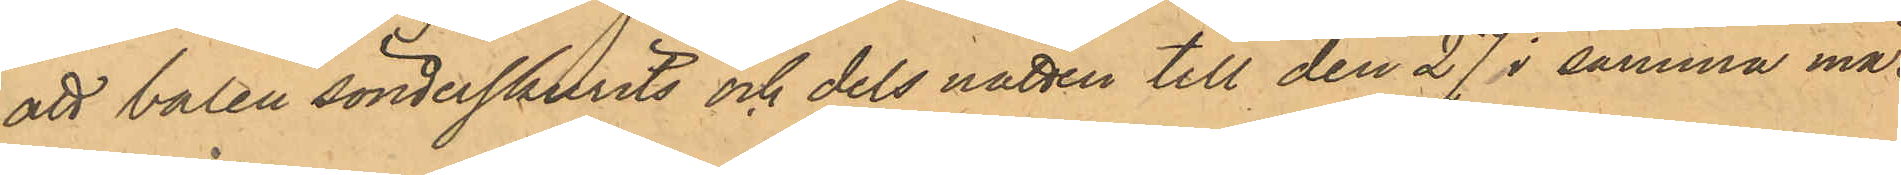att balen sönderskurits och dels natten till den 27 i samma må¬
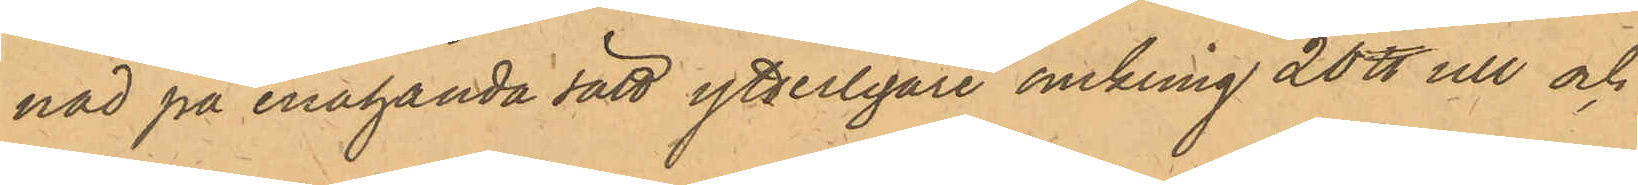nad på enahanda sätt ytterligare omkring 20 ℔ ull och
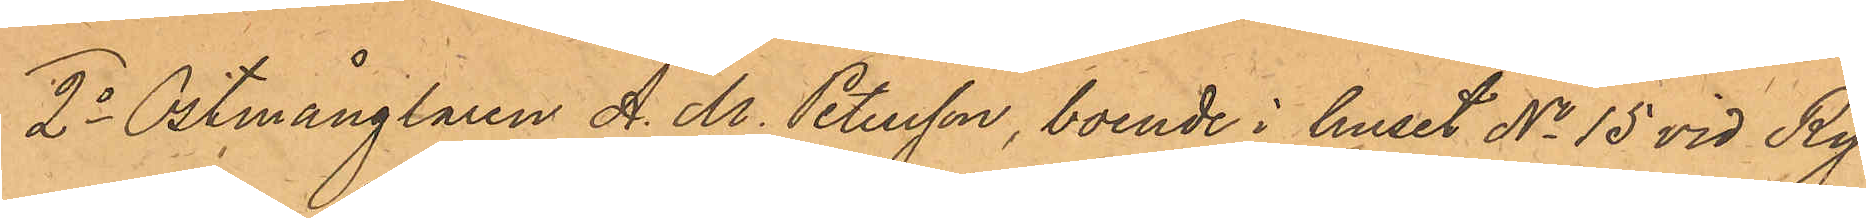2o Ostmånglaren A. M. Petersson, boende i huset No 15 vid Ry¬
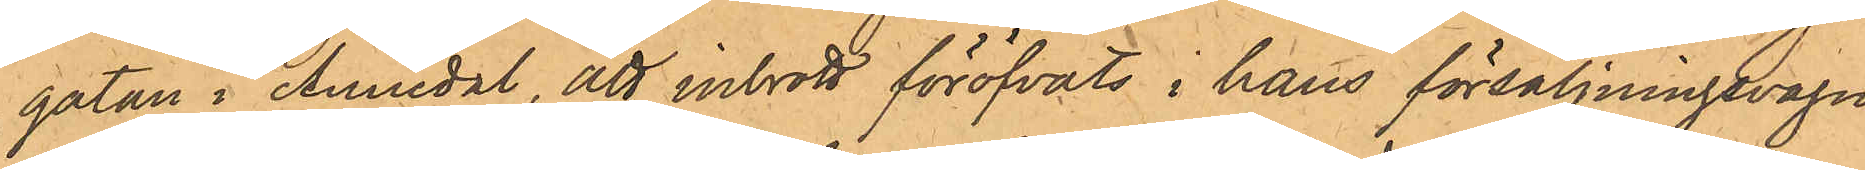gatan i Annedal, att inbrott föröfvats i hans försäljningsvagn
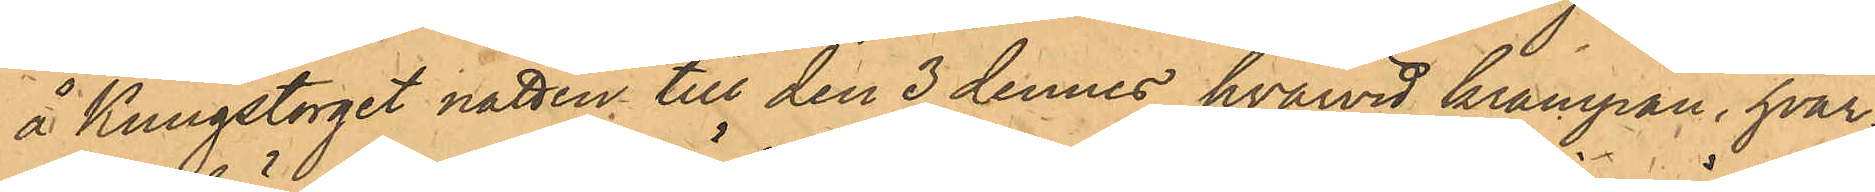å Kungstorget natten till den 3 dennes, hvarvid krampan, hvar¬
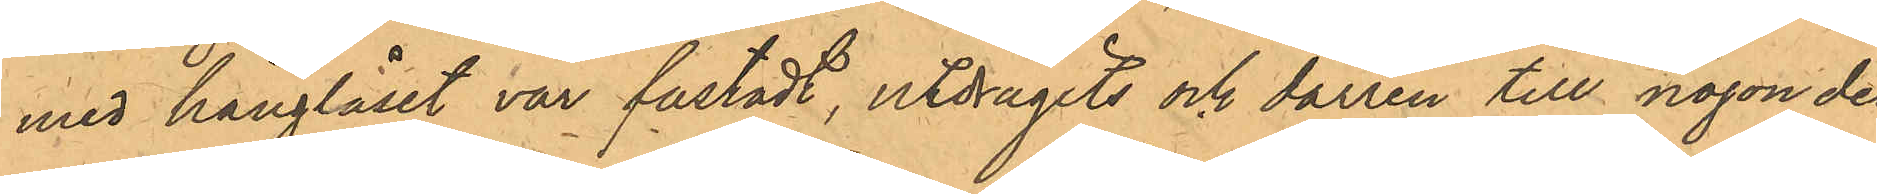med hänglåset var fästadt, utdragits och dörren till någon del
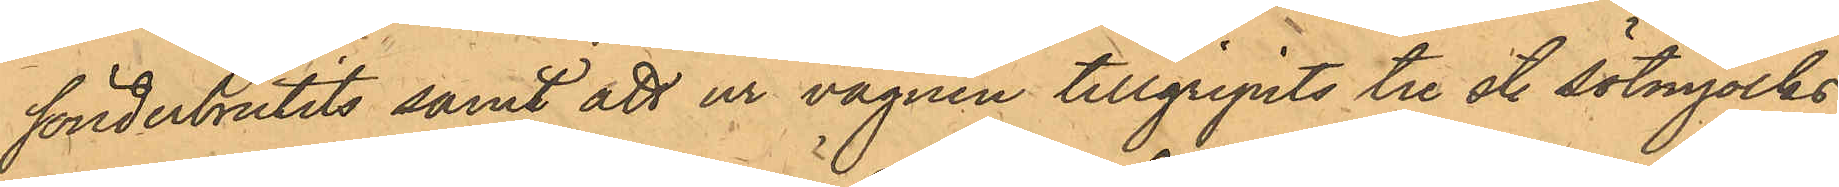sönderbrutits samt att ur vagnen tillgripits tre st. sötmjölks¬
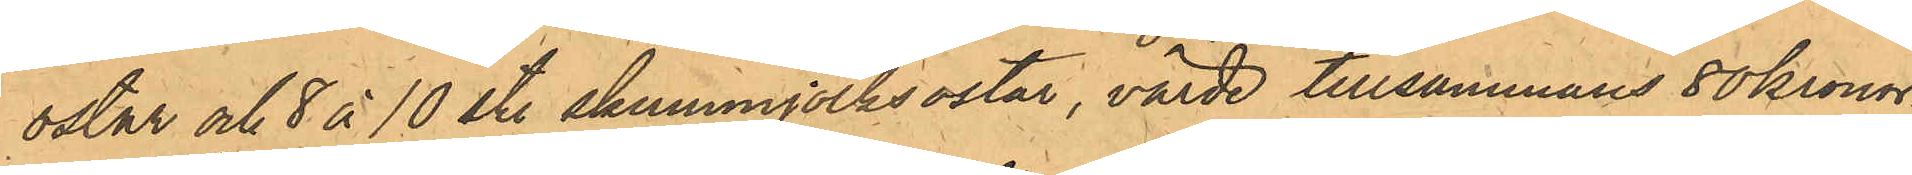ostar och 8 à 10 st. skummjölksostar, värde tillsammans 80 Kronor.
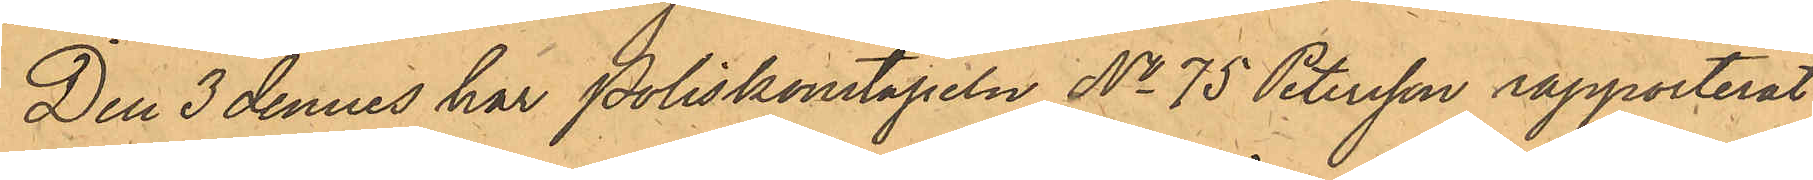Den 3 dennes har Poliskonstapeln No 75 Petersson rapporterat,
